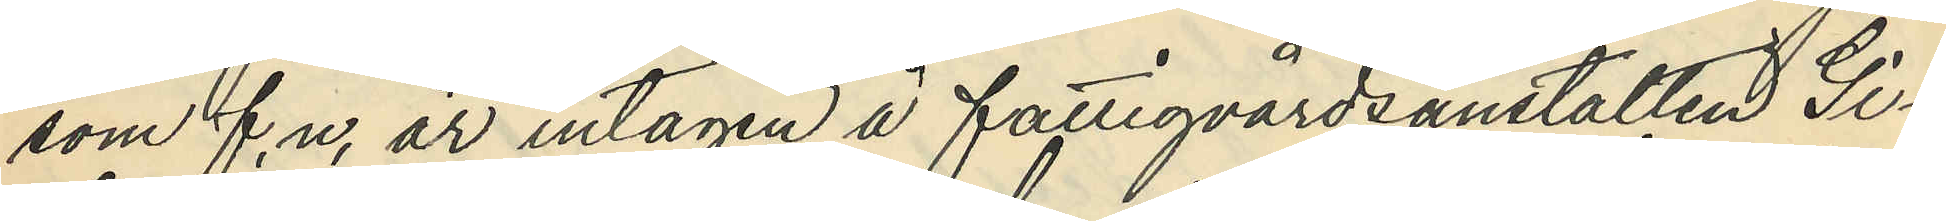som f.n. är intagen å fattigvårdsanstalten Gi¬
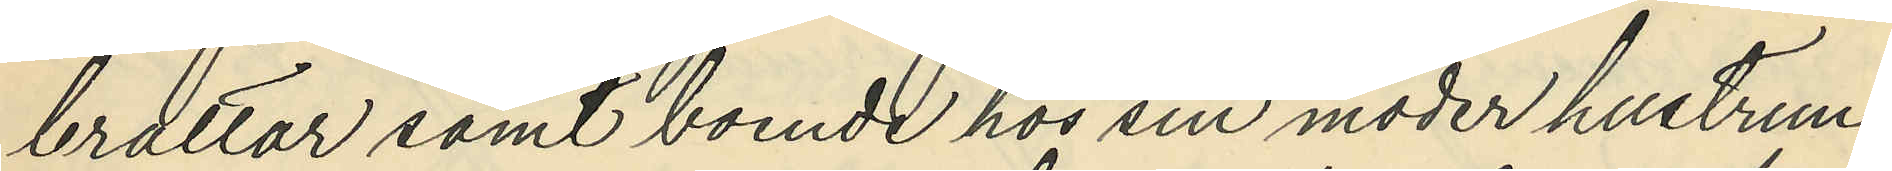braltar samt boende hos sin moder hustrun
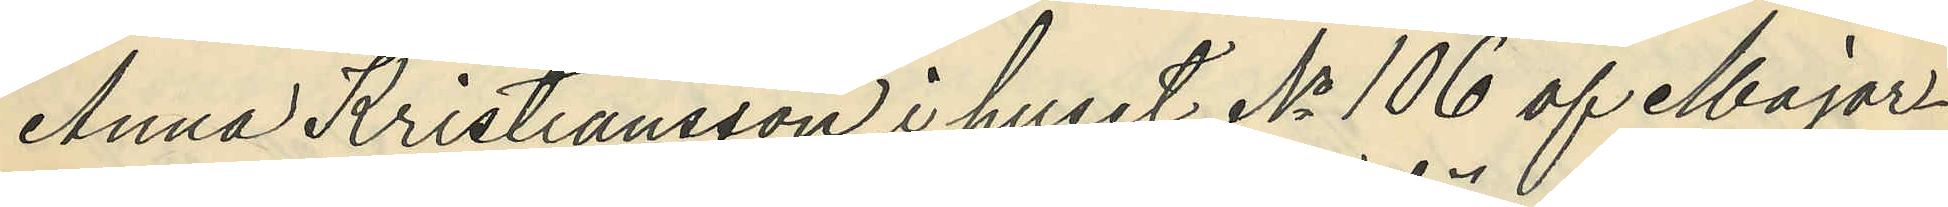Anna Kristiansson i huset No 106 af Major¬
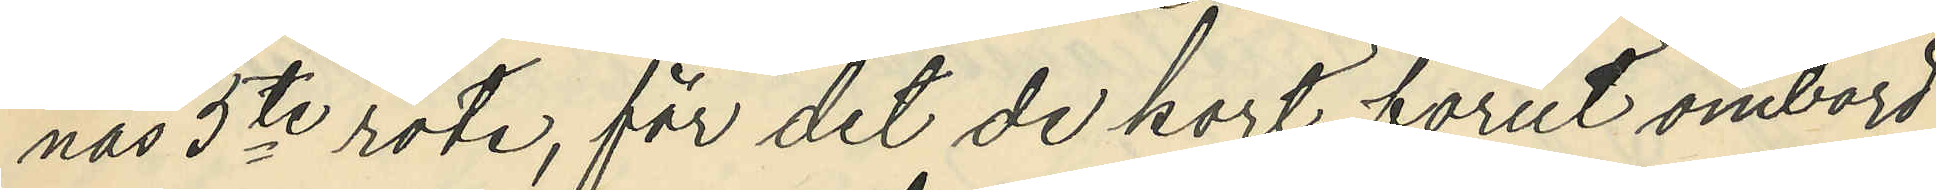nas 5te rote, för det de kort förut ombord
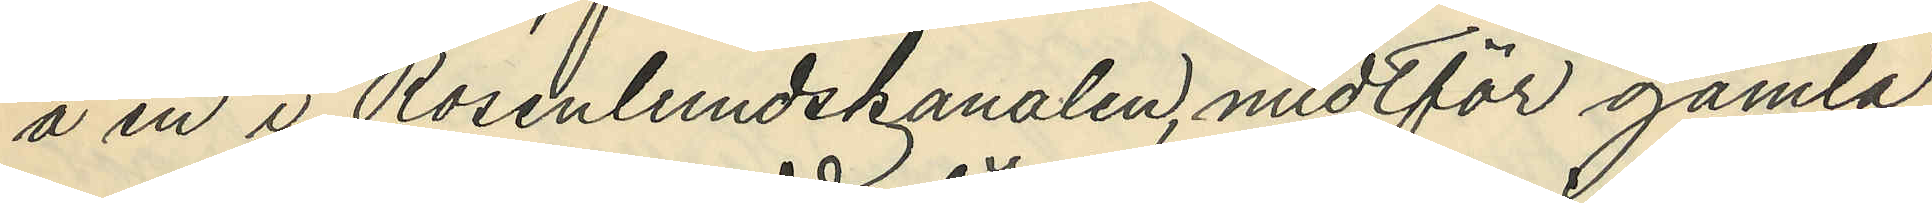å en i Rosenlundskanalen, midtför gamla
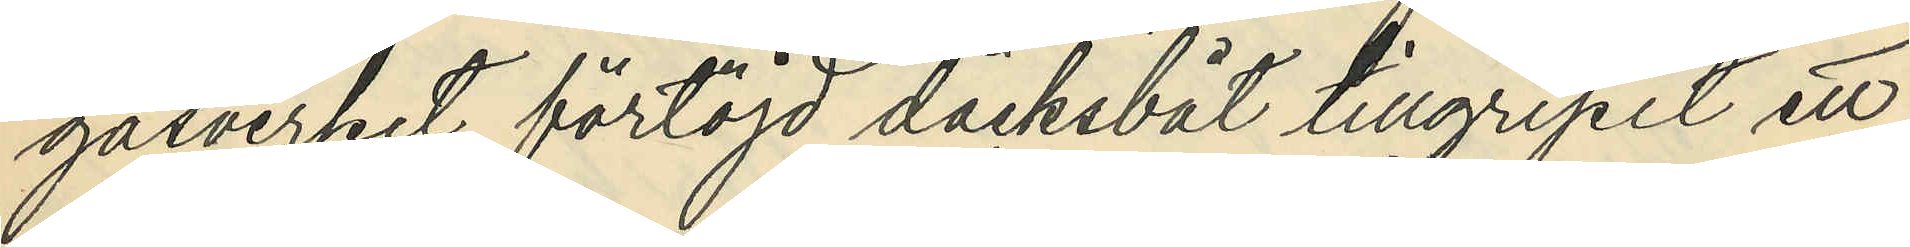gasverket förtöjd däcksbåt tillgripit ett
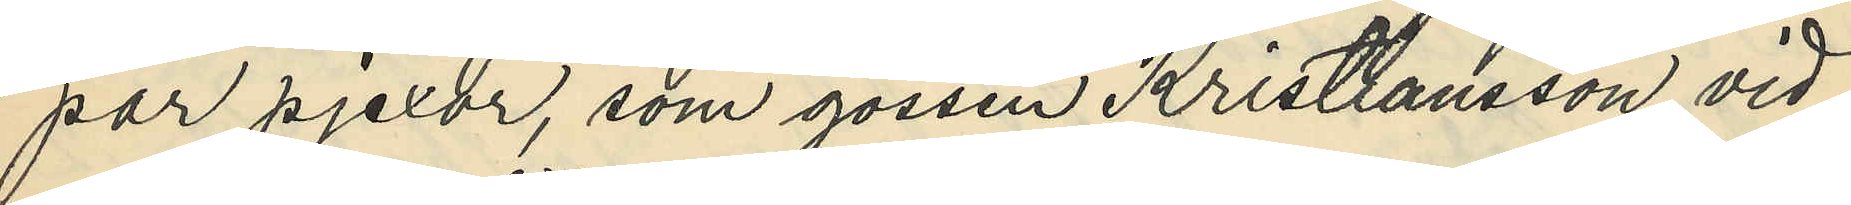par pjexor, som gossen Kristiansson vid
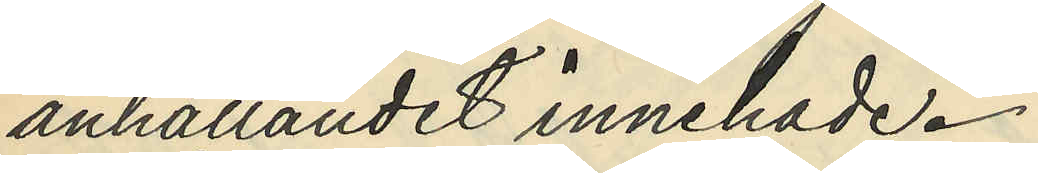anhållandet innehade.
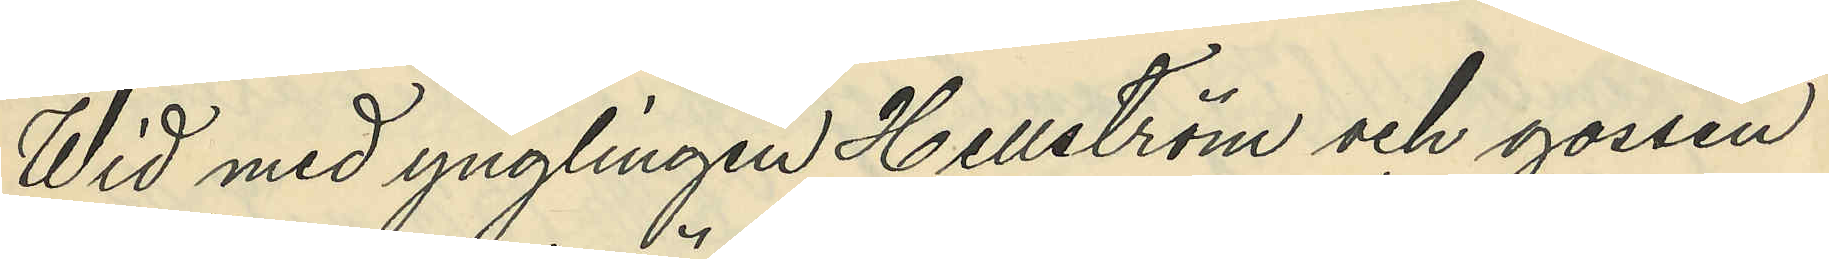Wid med ynglingen Hellström och gossen
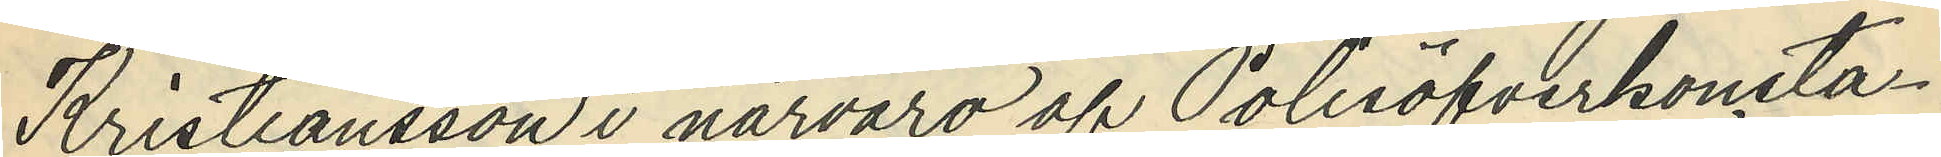Kristiansson i närvaro af Polisöfverkonsta¬
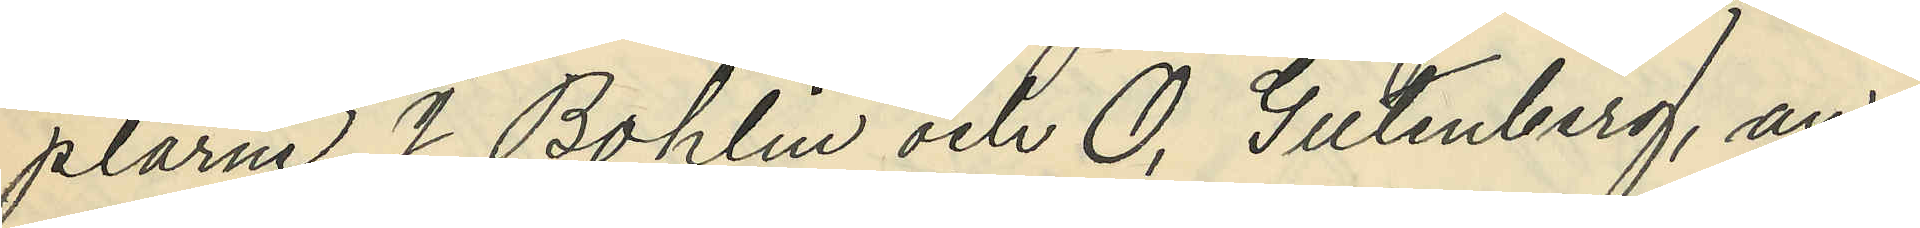plarne J. Bohlin och O. Gutenberg, an¬
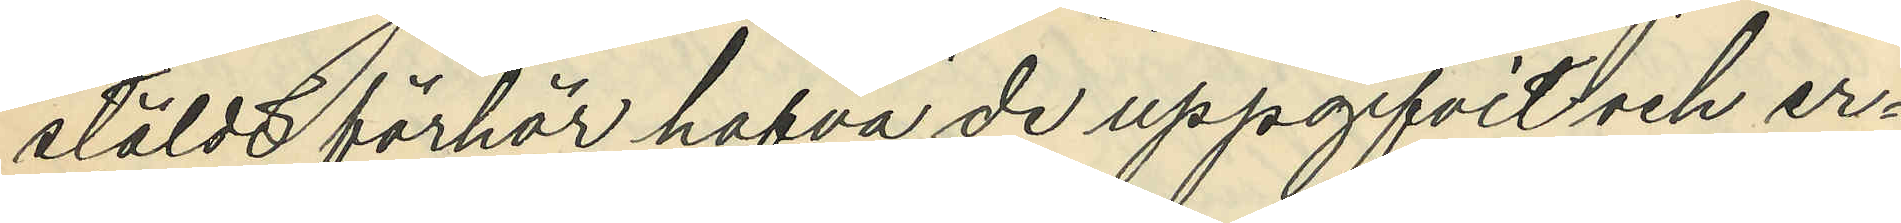stäldt förhör hafva de uppgifvit och er¬
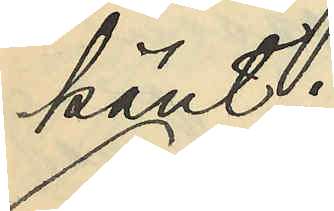känt:
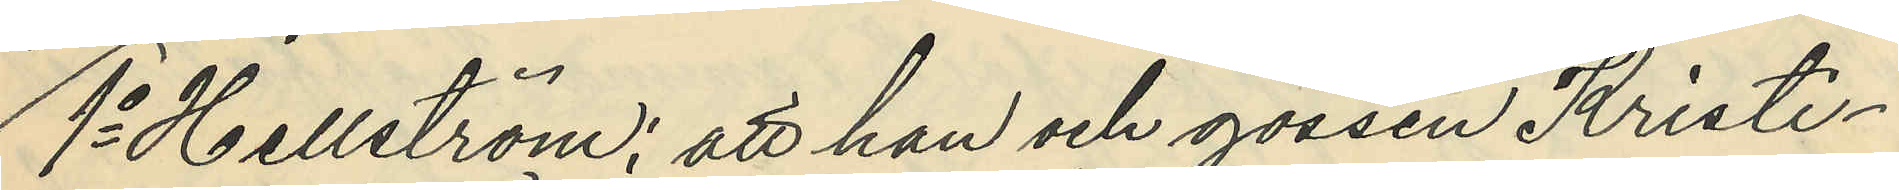1o Hellström; att han och gossen Kristi¬
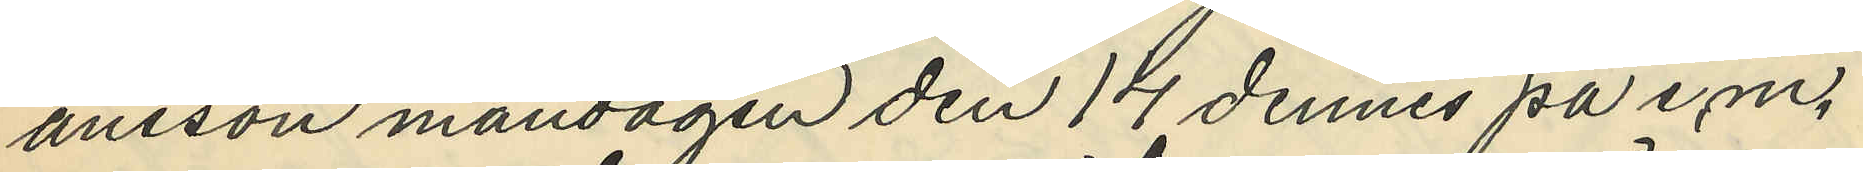ansson måndagen den 14 dennes på e.m.
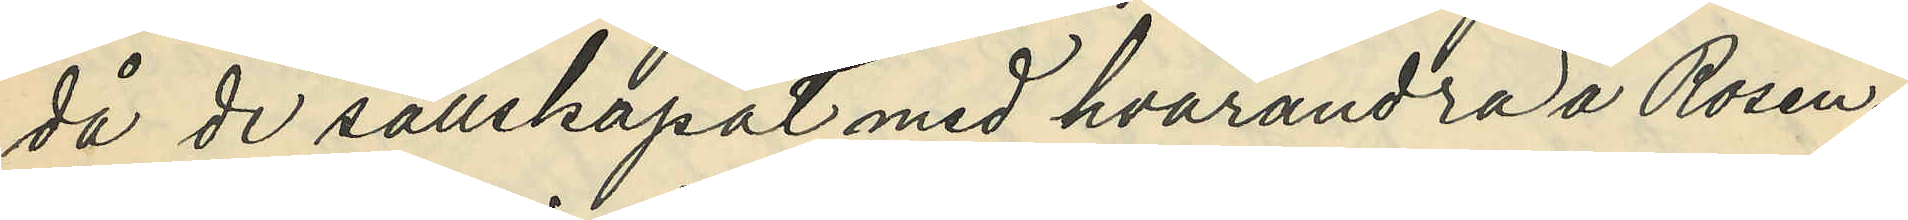då de sällskapat med hvarandra å Rosen¬
